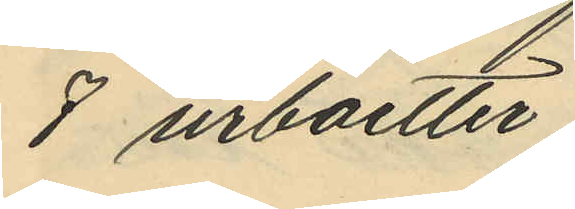8 urboetter
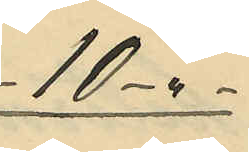10 - " -
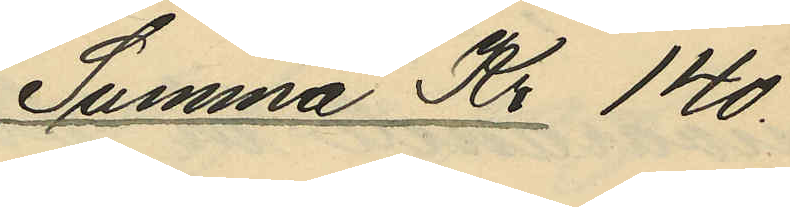Summa Kr 140.
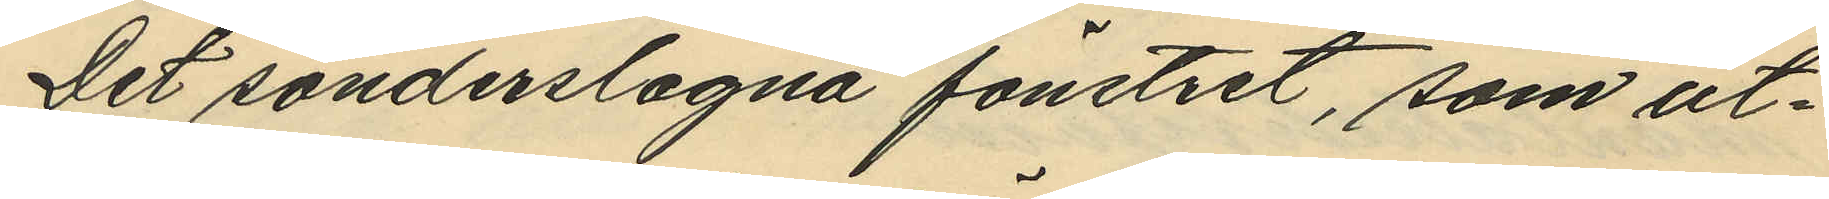Det sönderslagna fönstret, som ut¬
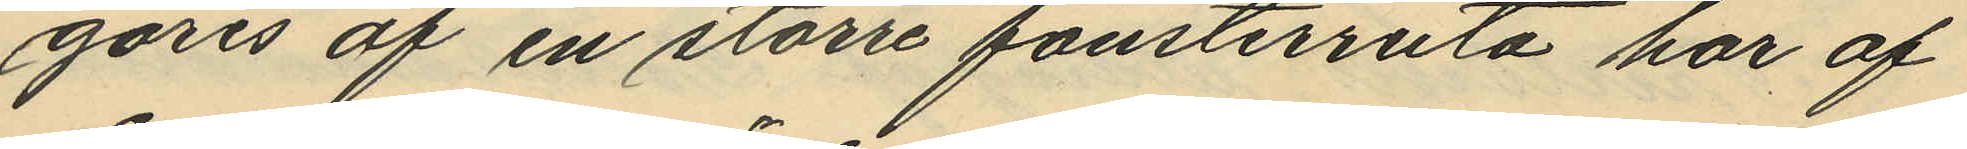göres af en större fönsterruta har af
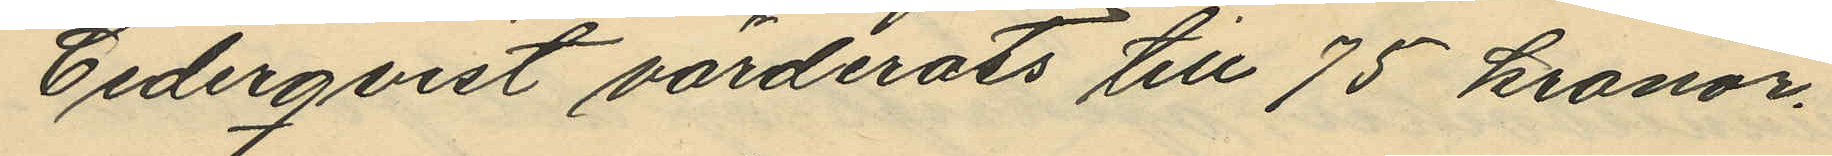Cederqvist värderats till 75 kronor.
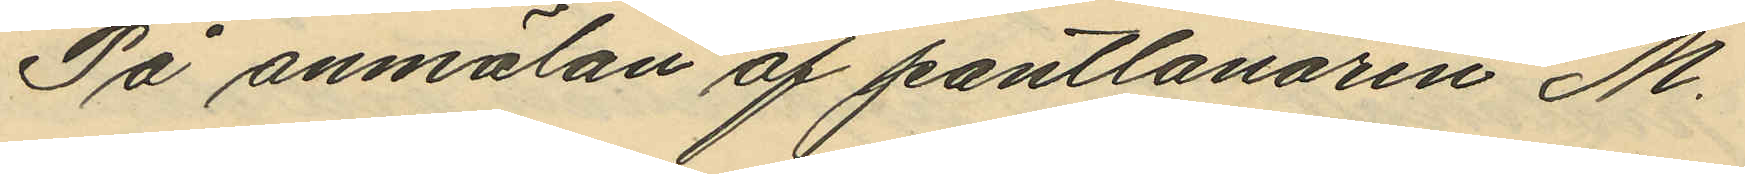På anmälan af pantlånaren M.
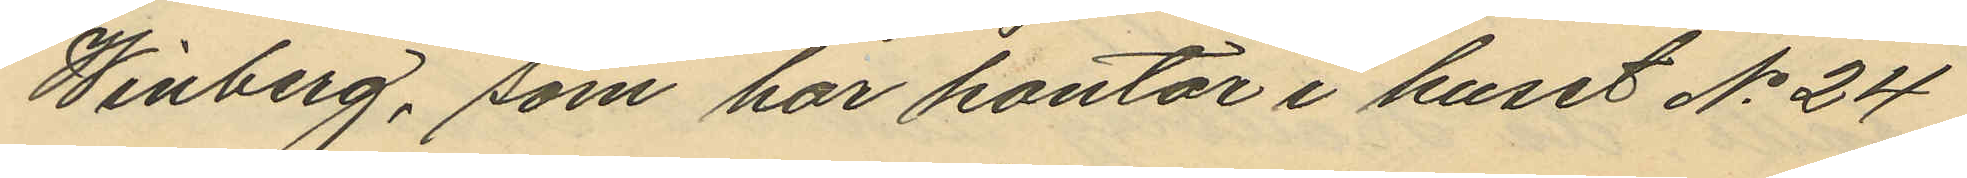Winberg, som har kontor i huset No 24
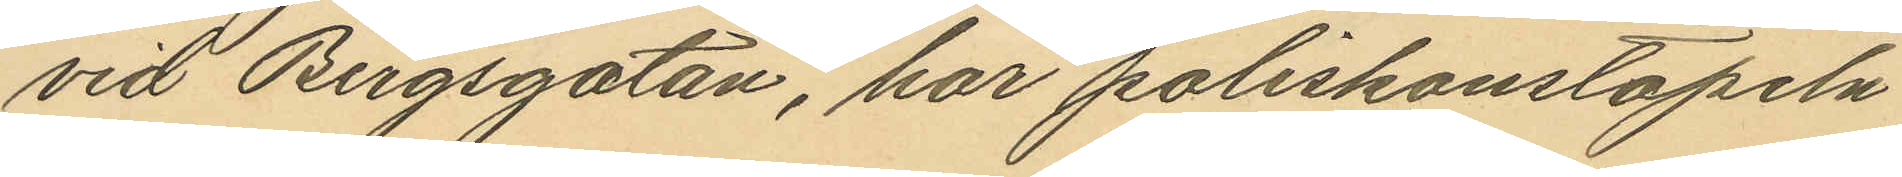vid Bergsgatan, har poliskonstapeln
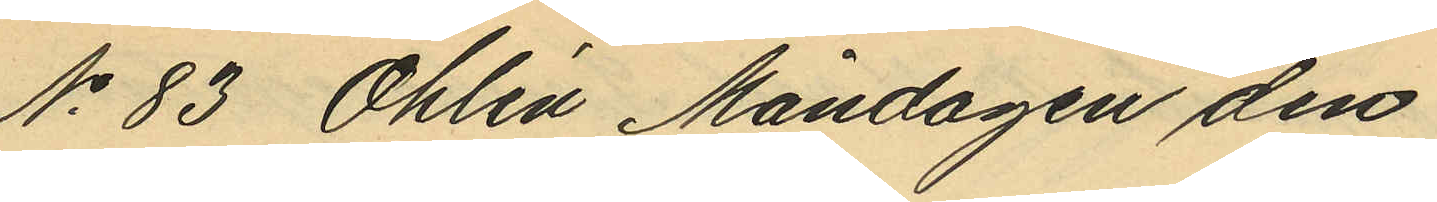No 83 Öhlén Måndagen den
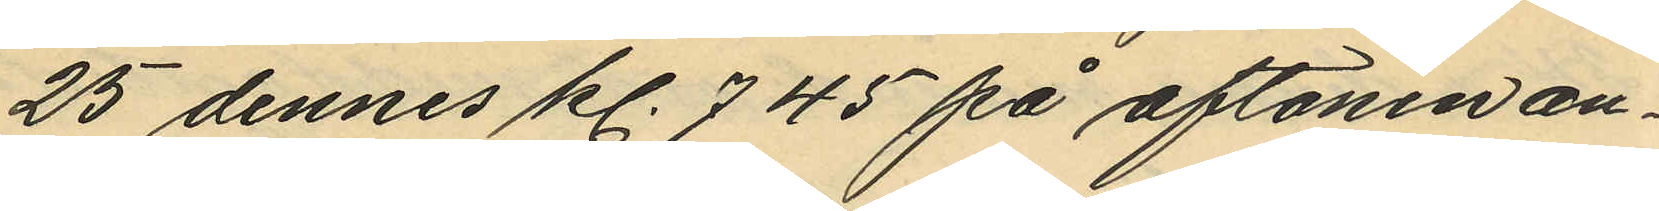25 dennes kl. 7. 45 på aftonen an¬
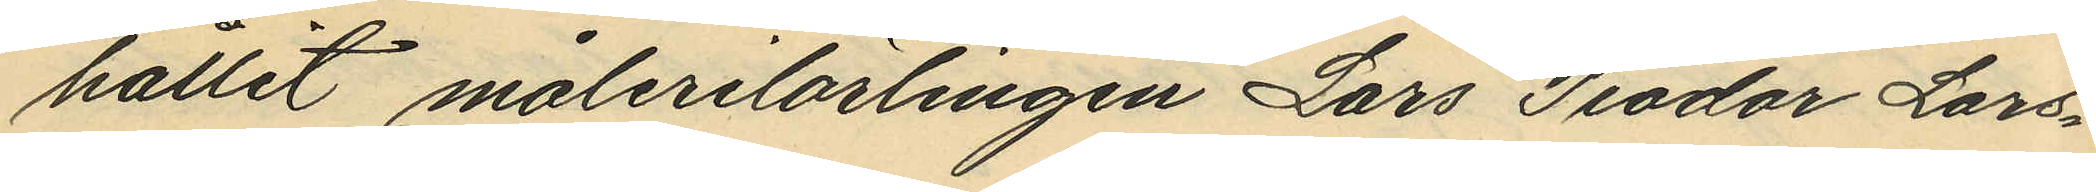hållit målerilärlingen Lars Teodor Lars¬
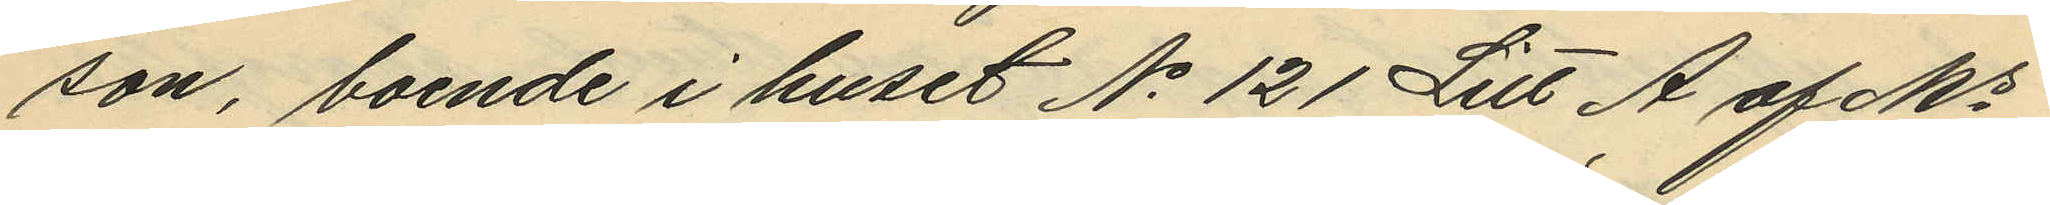son, boende i huset No 121 Litt A af Ms
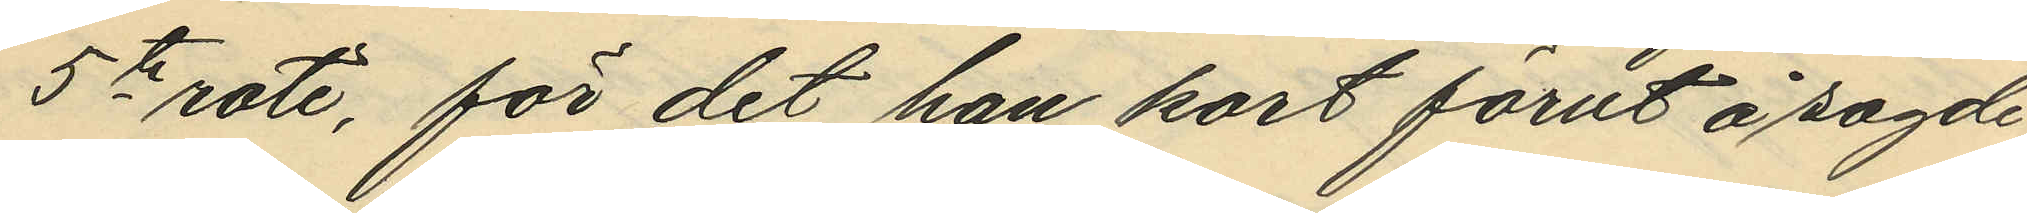5te rote, för det han kort förut å sagde
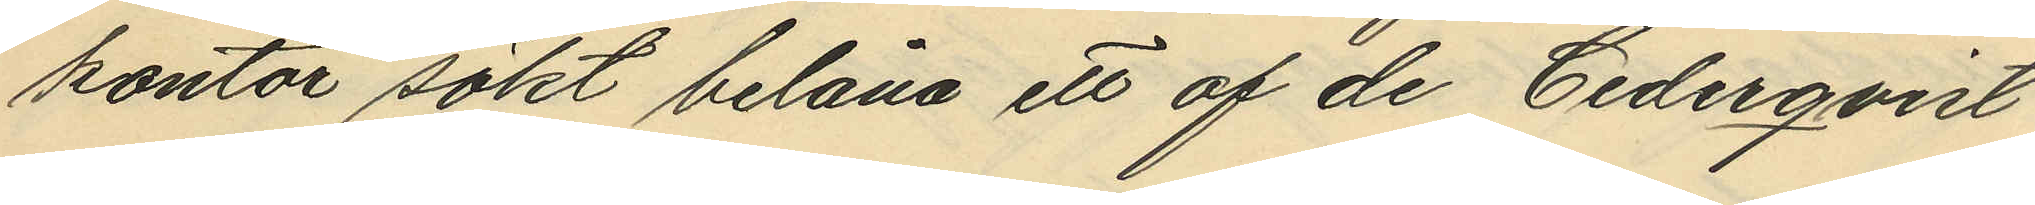kontor sökt belåna ett af de Cederqvist
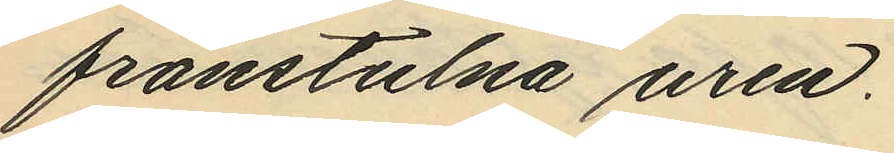frånstulna uren.
